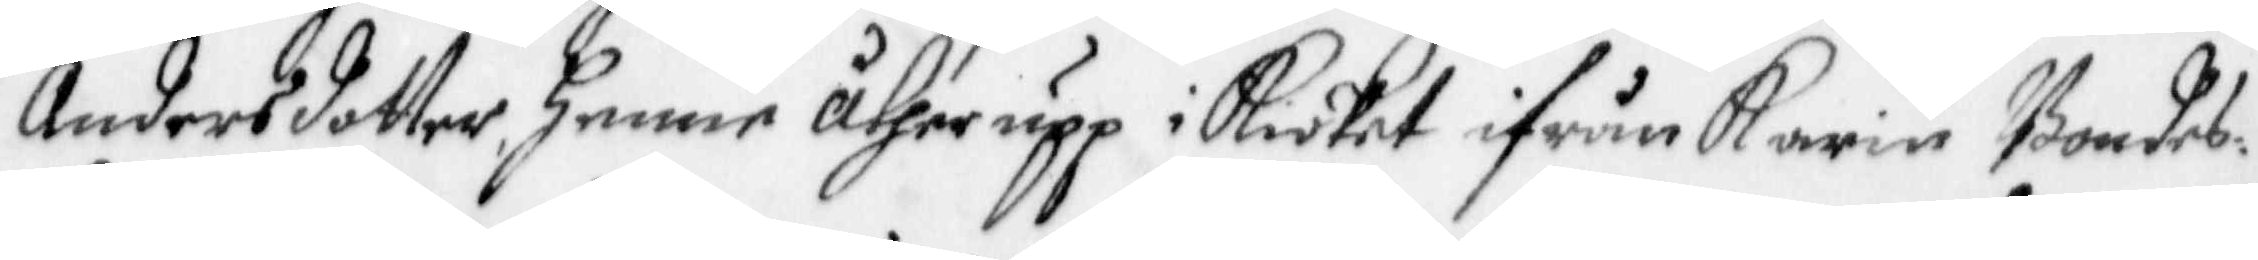Andersdotter, henne åther upp i Kiöket ifrån Karin Bondes¬
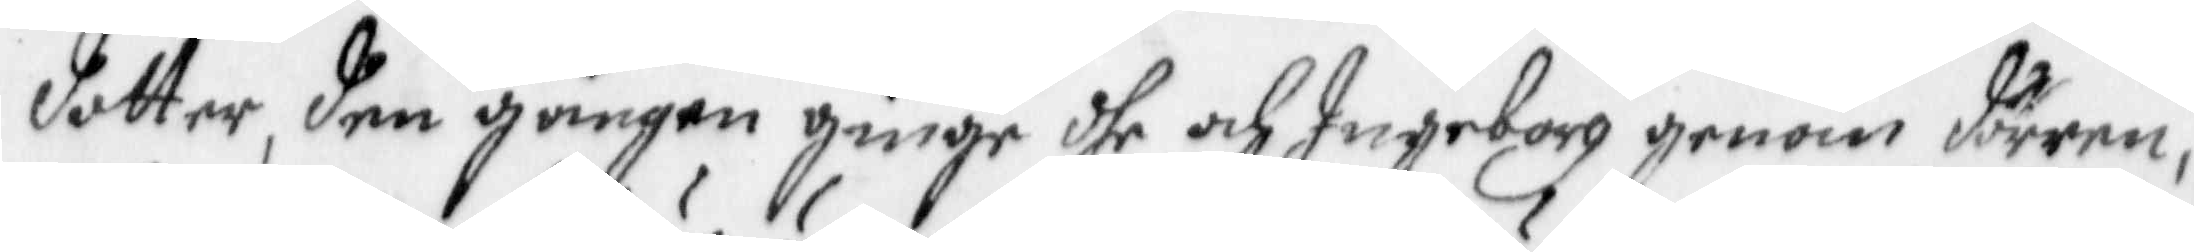dotter, den gången ginge dhe och Ingeborg genom dörren,
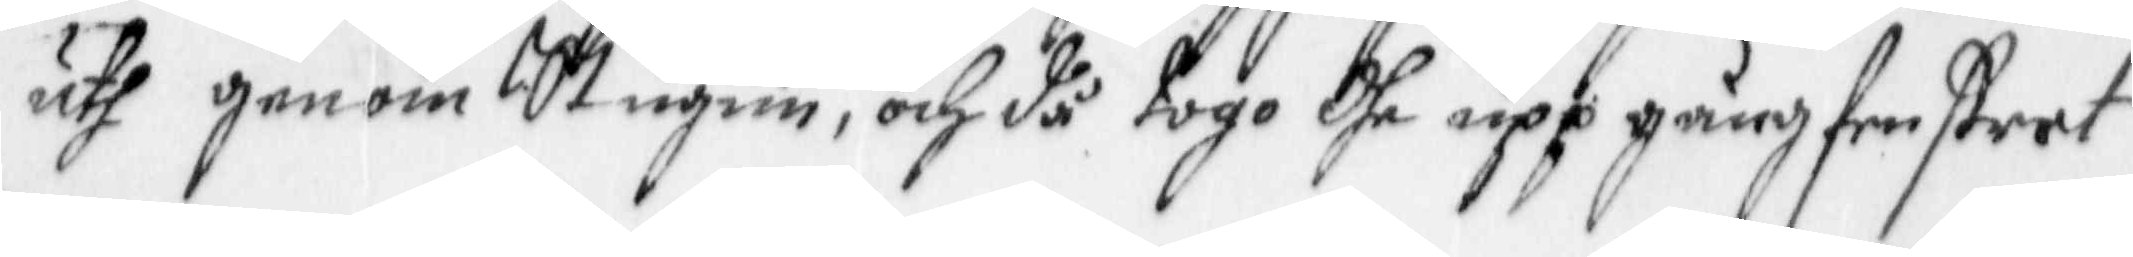uth genom Stugun, och då togo dhe upp gång fenstret,
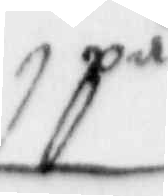på
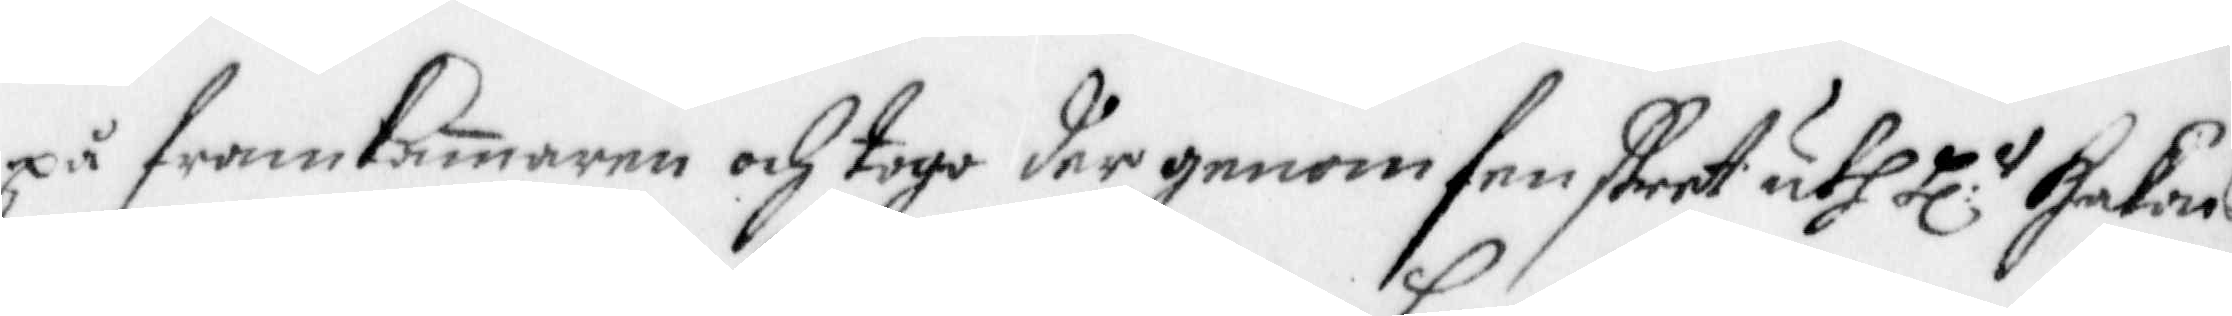på framKamaren och togo der genom fenstret uth Hl:r Hakans
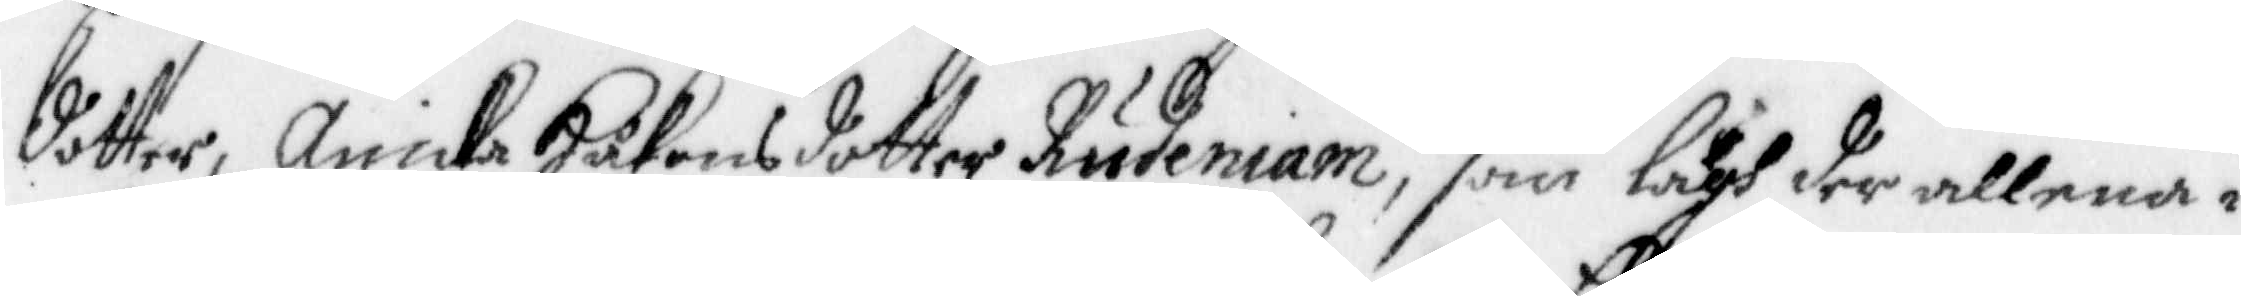dotter, Anicka Håkansdotter Rudeniam, som lågh der allena i
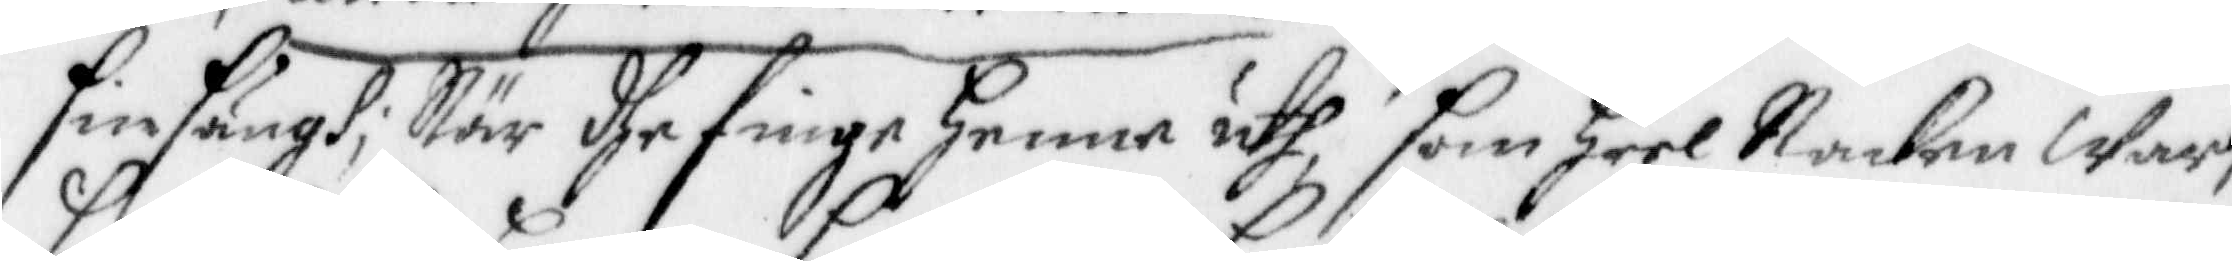sin sängh, När dhe finge henne uth som heel Nacken War,
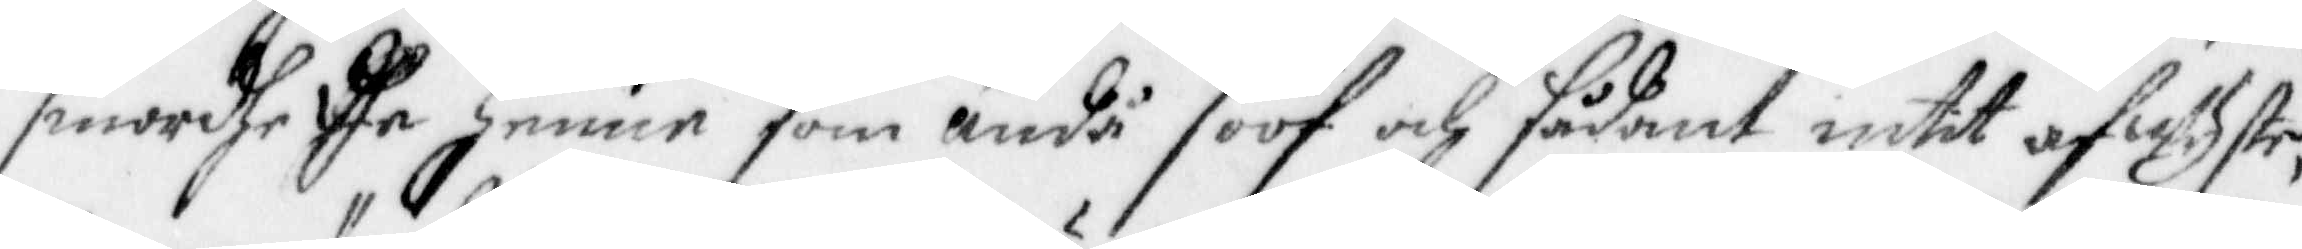smordhe dhe henne som ändå soof och sådant intet afwyste,
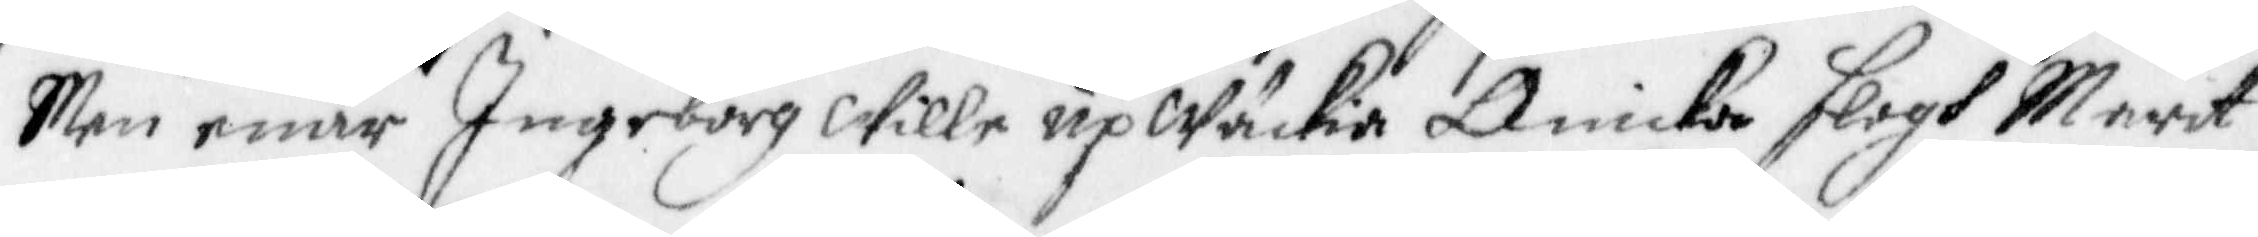Men enär Ingeborg wille upWäckia Anicka slogh Marit
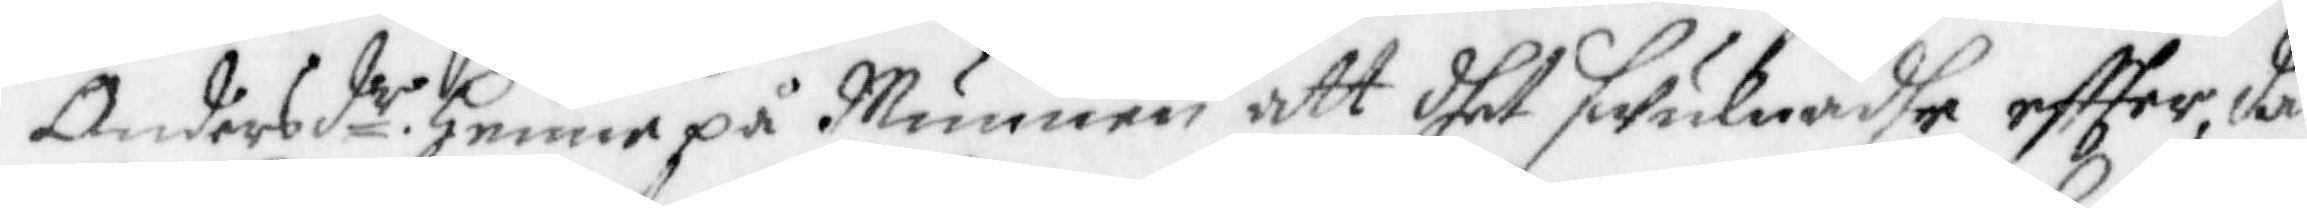Andersd.r henne på Munnen att dhet swulnadhe effter, då
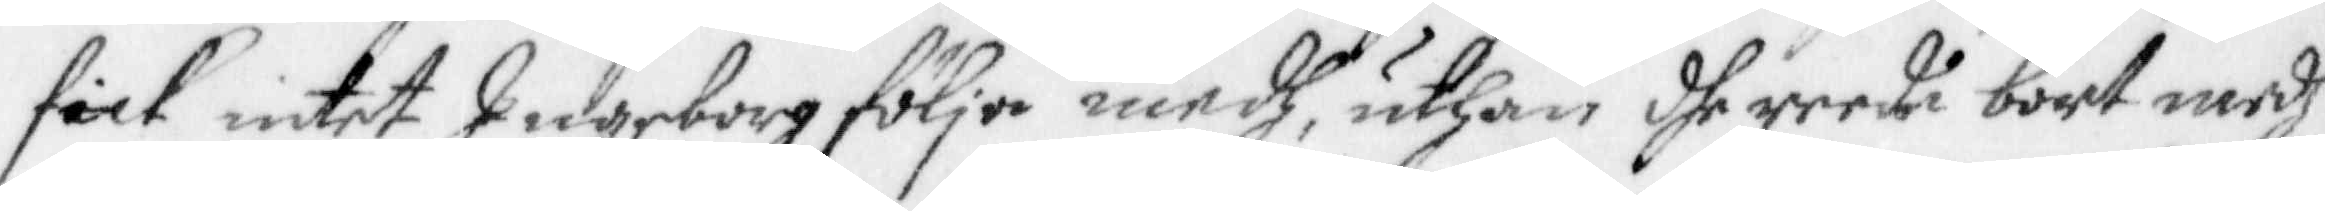fick intet Ingeborg följa medh, uthan dhe reede bort medh
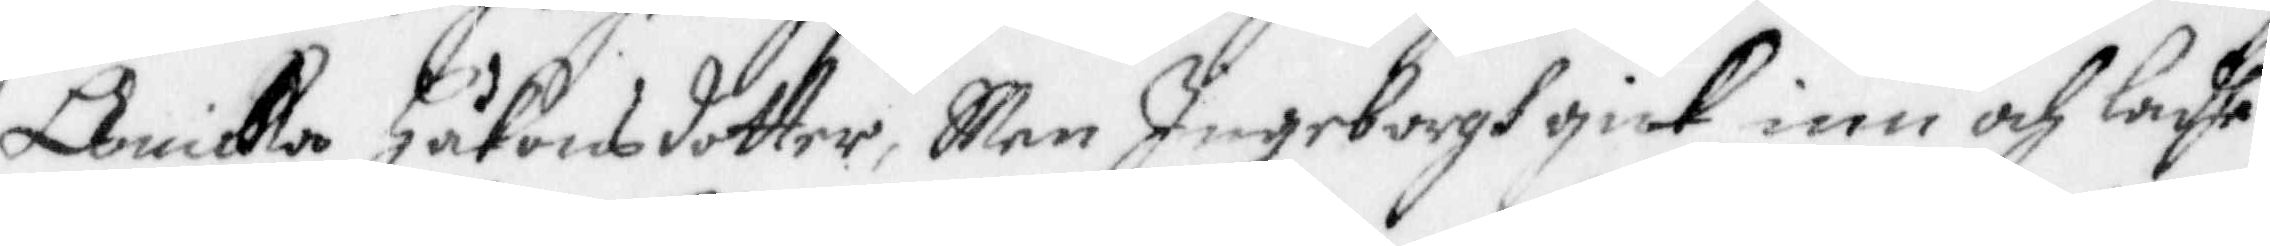Anika Håkansdotter, Men Ingeborgh gick inn och ladhe
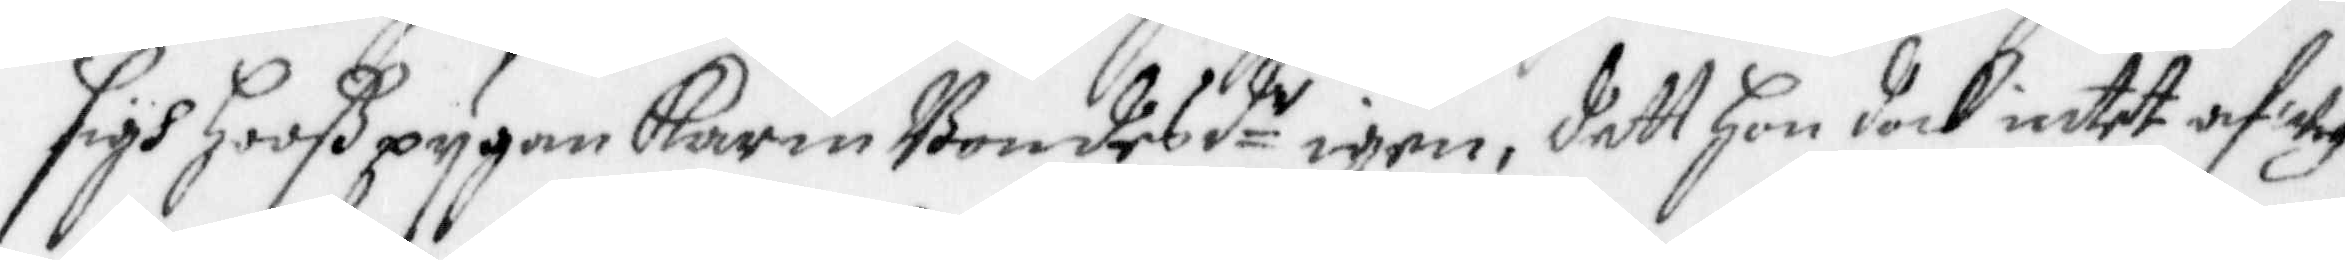sigh hooß pygan Karin Bondesd.r igen, dett hon dock intet af wy¬
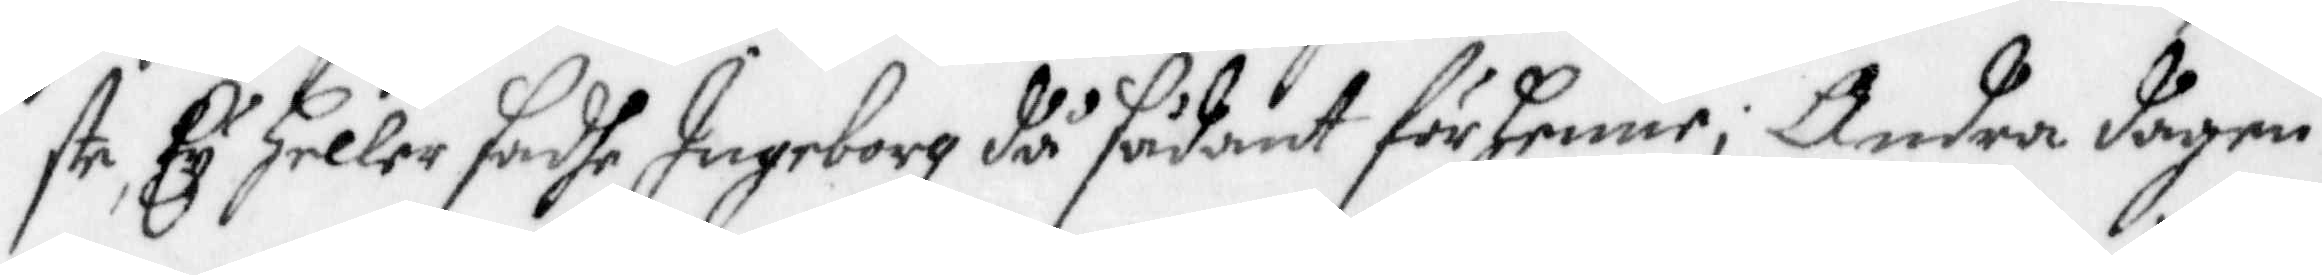ste, Ey heller sadhe Ingeborg då sådant för henne; Andra dagen
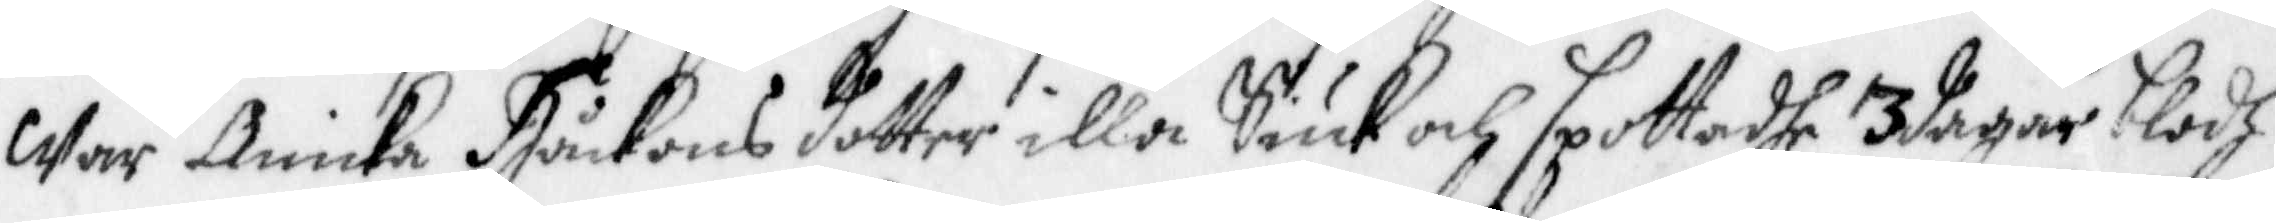War Anicka Håckons dotter illa Siuk och spottadhe 3 dagar blodh
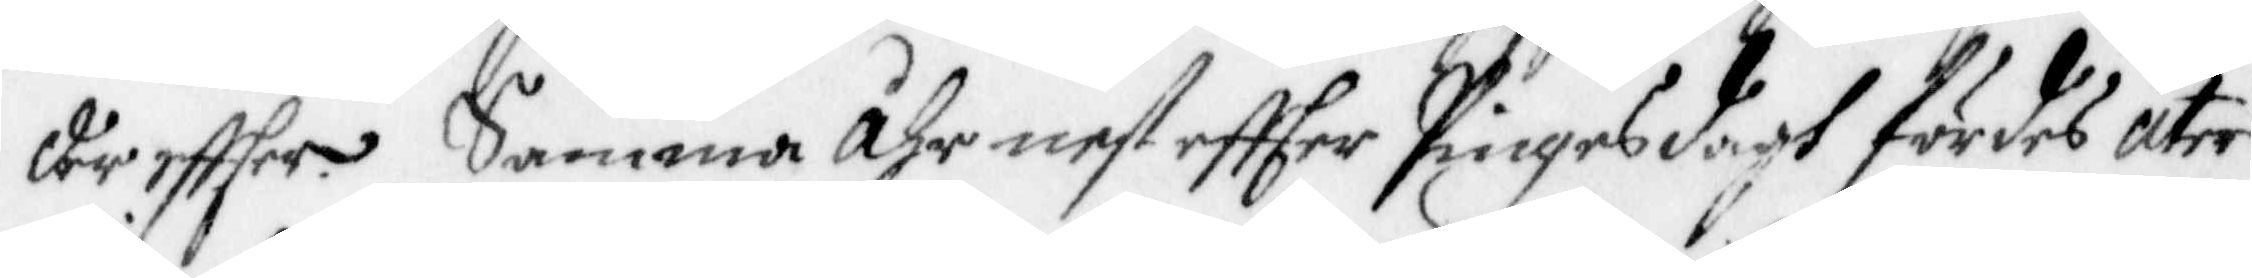där effter. Samma åhr nest effter Pingesdagh fördes åter
